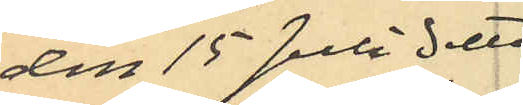den 15 Juli detta
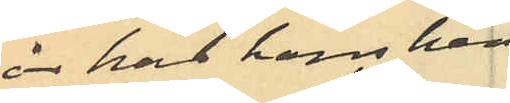år har hans hem¬
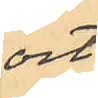ort
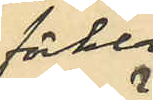förklar¬
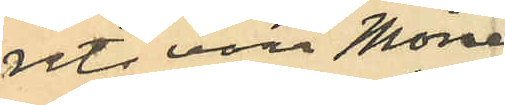rats vara Möne
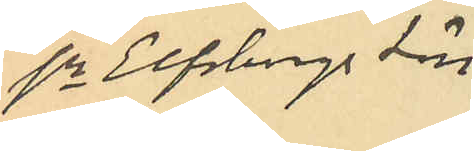sn Elfsborgs län.
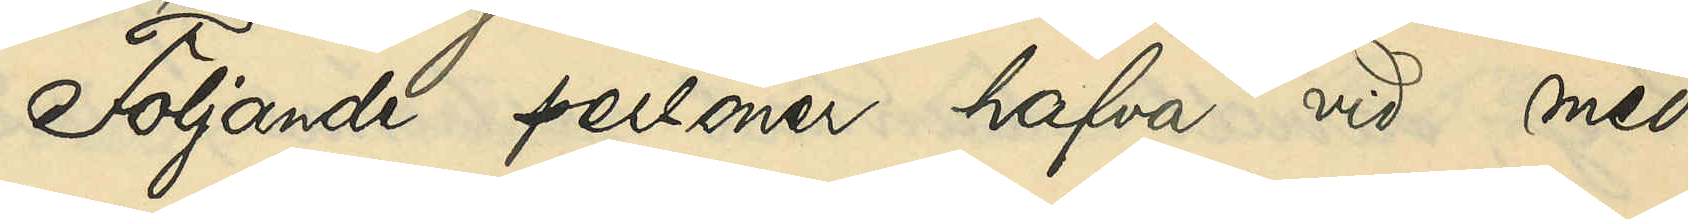Följande personer hafva vid med
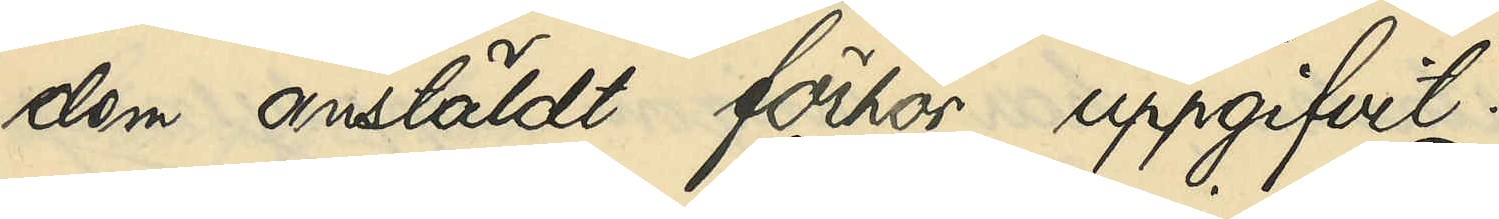dem anstäldt förhör uppgifvit:
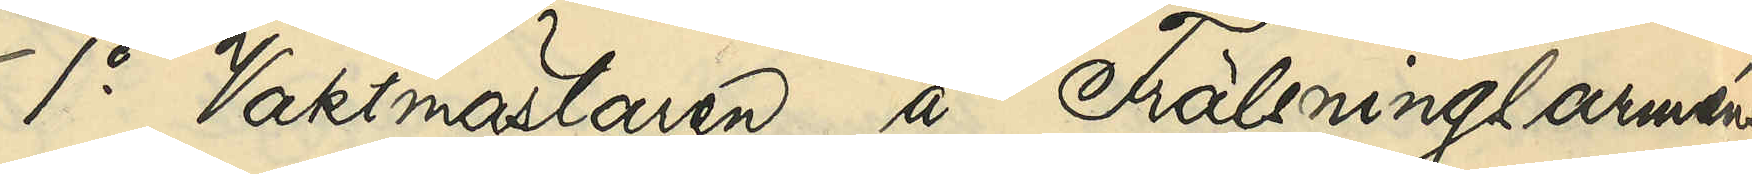1o Vaktmästaren å Frälsningsarméns
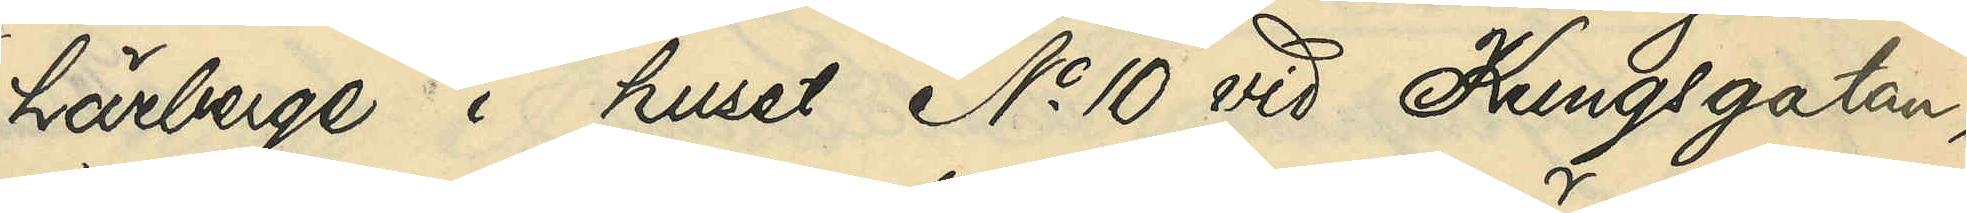härbärge i huset No 10 vid Kungsgatan,
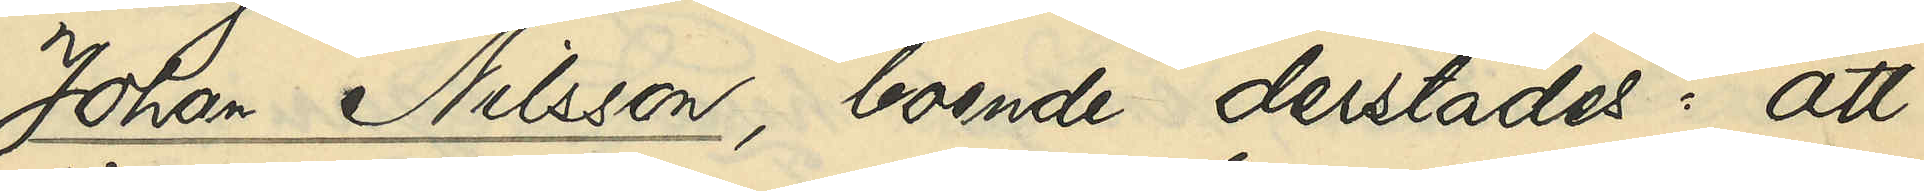Johan Nilsson, boende derstädes: att
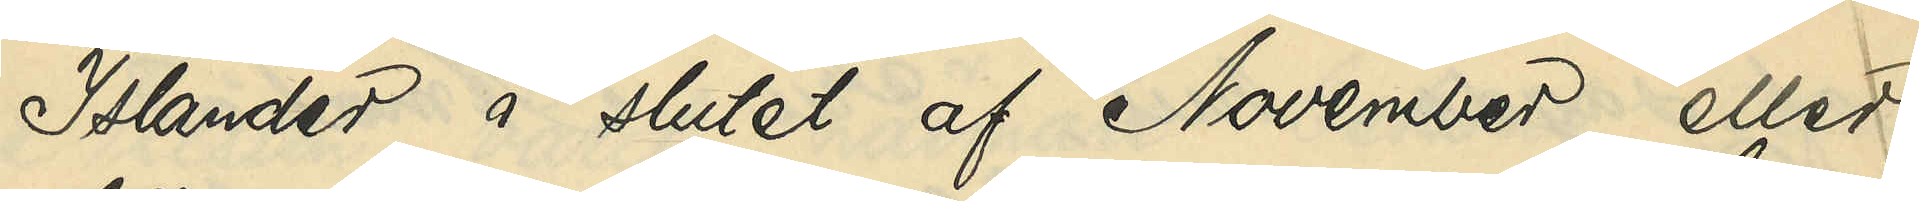Islander å slutet af November eller
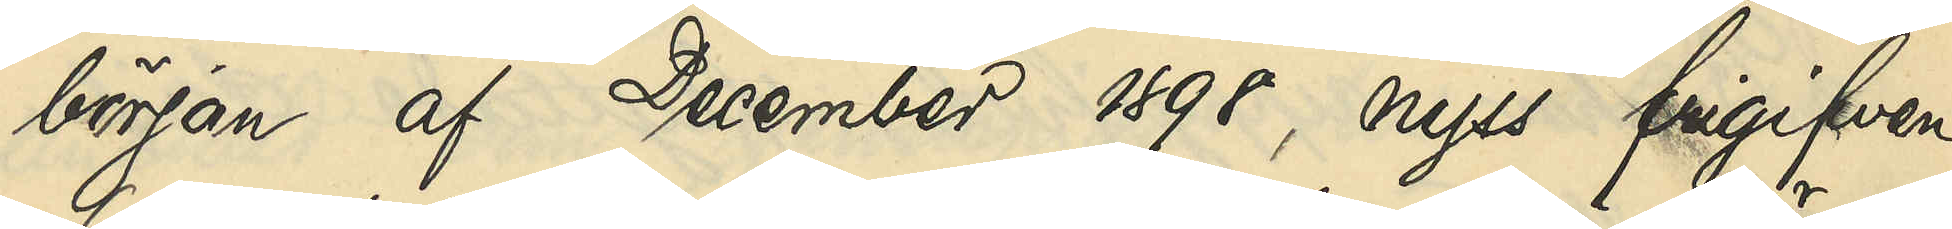början af December 1898, nyss frigifven
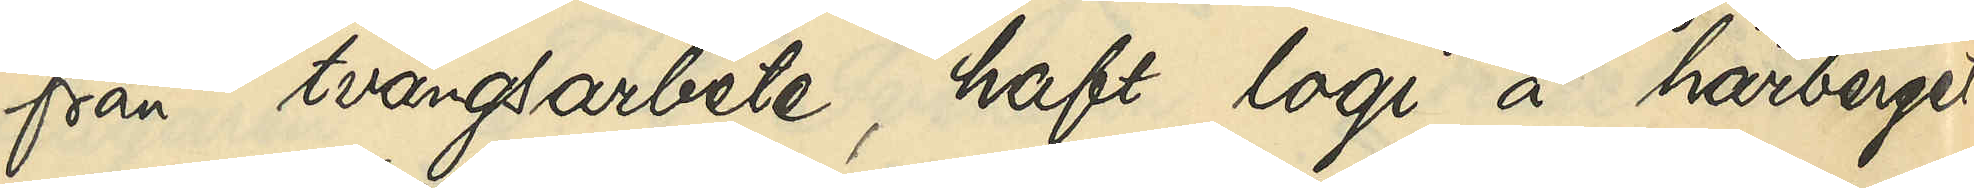från tvångsarbete, haft logi a härberget
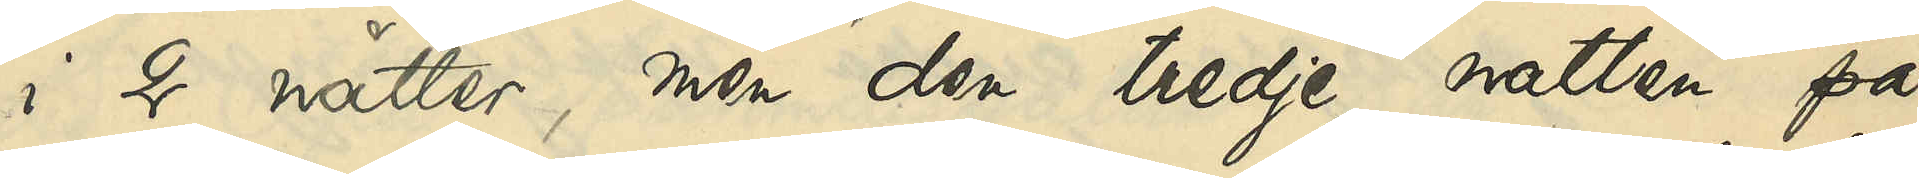i 2 nätter, men den tredje natten på
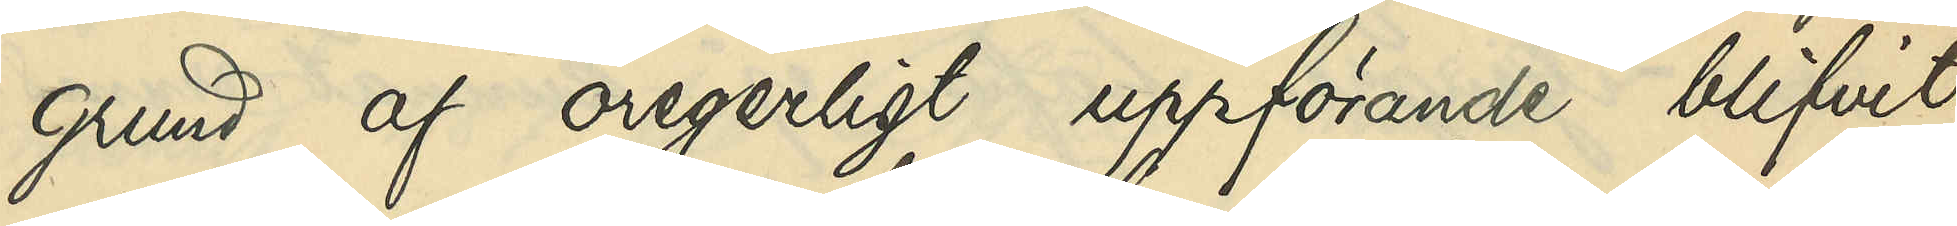grund af oregerligt uppförande blifvit
